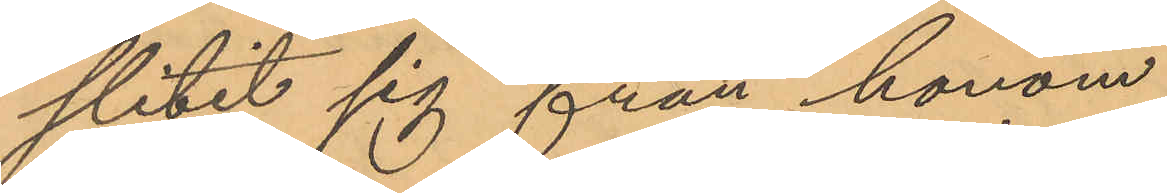slitit sig från honom.
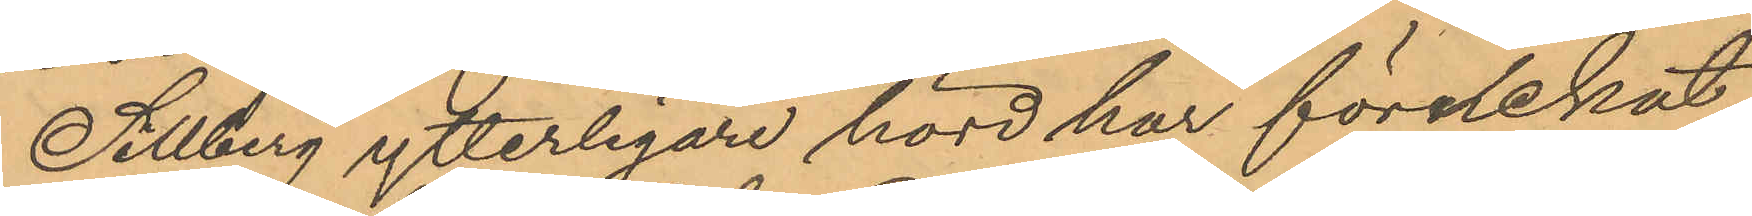Sillberg ytterligare hörd har förnekat
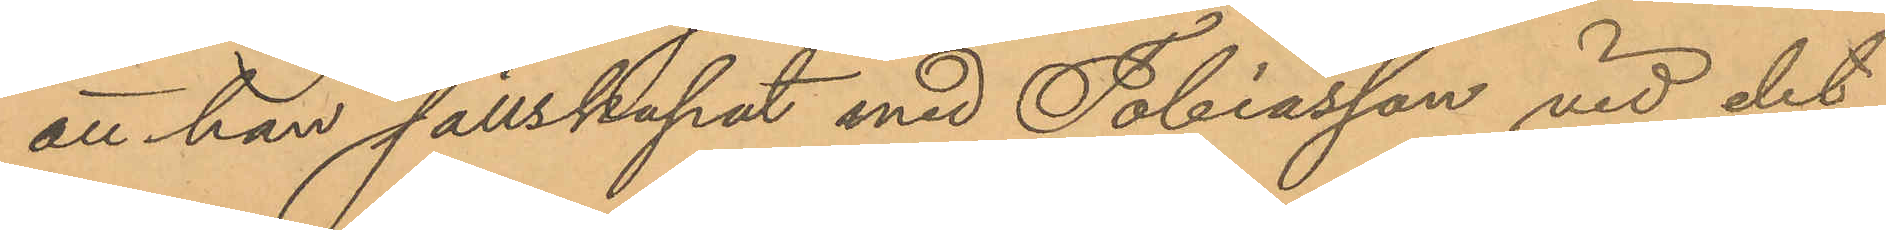att han sällskapat med Tobiasson vid det
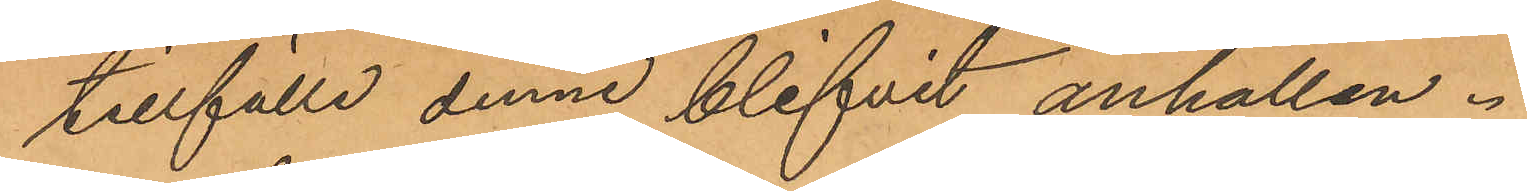tillfälle denne blifvit anhållen.
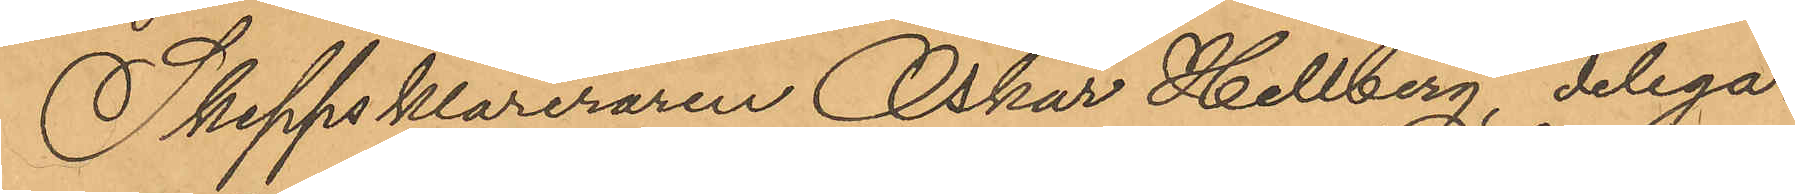Skeppsklareraren Oskar Hellberg, delega¬
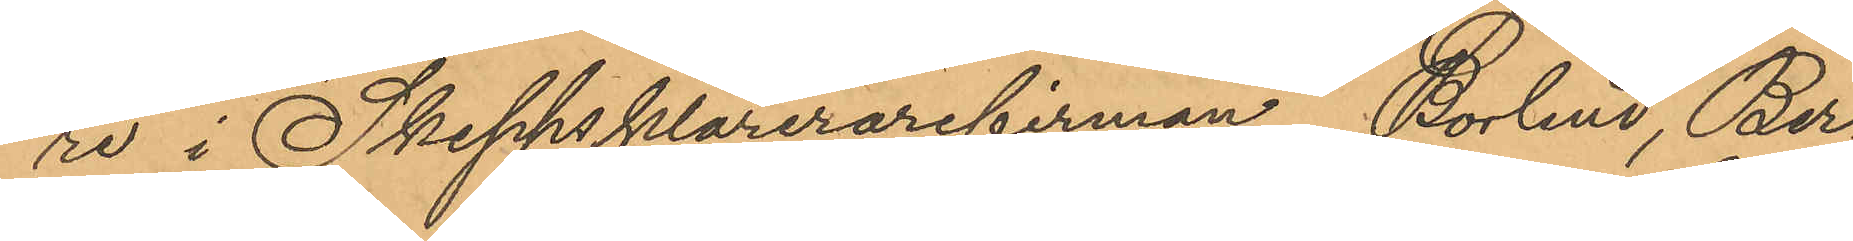re i Skeppsklarerarefirman Bolund, Ber¬
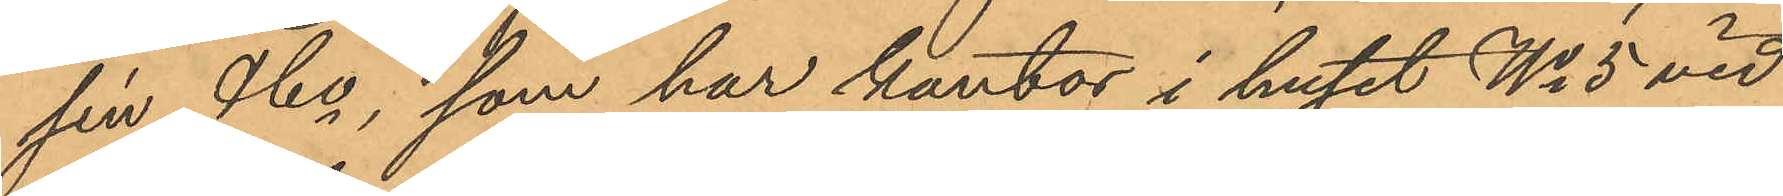lin & Co, som har kontor i huset No 5 vid
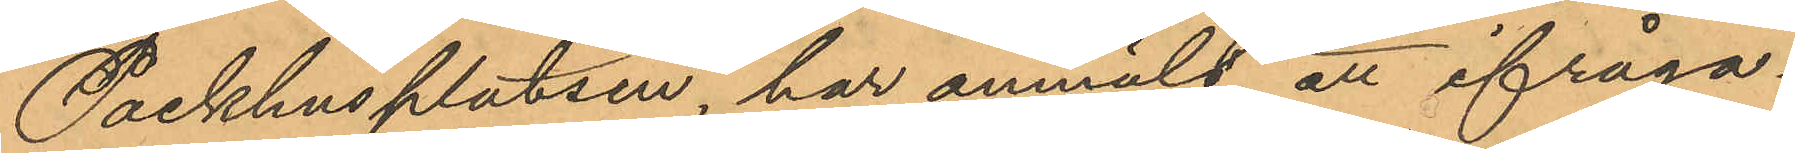Packhusplatsen, har anmält att ifråga¬
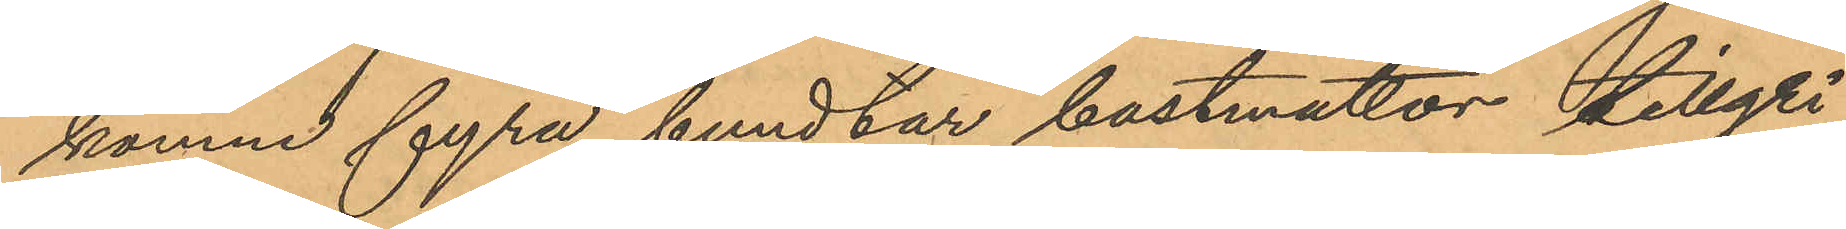komne fyra bundtar bastmattor tillgri¬
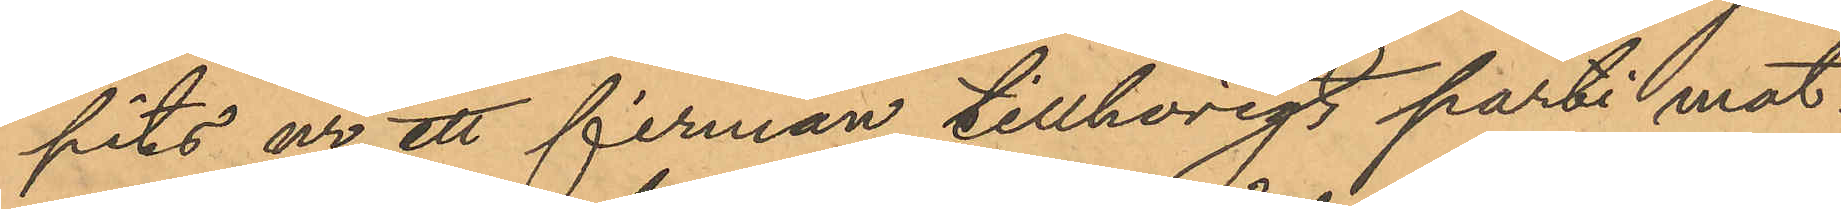pits ur ett firman tillhörigt parti mat¬
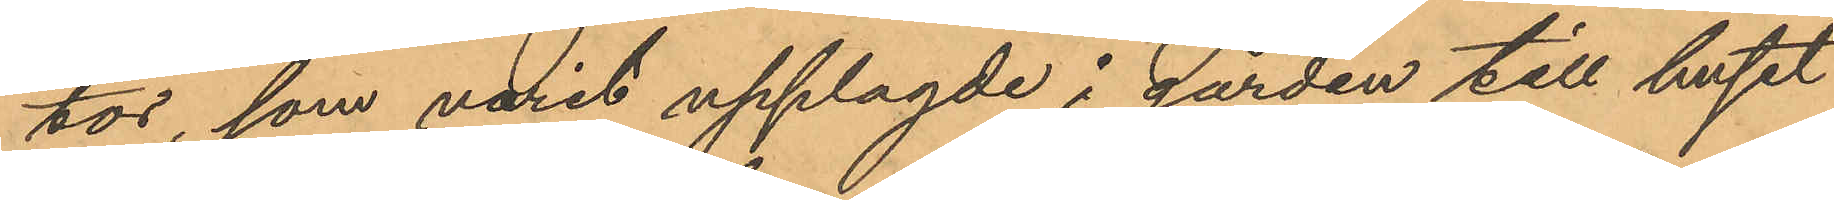tor, som varit upplagde i gården till huset
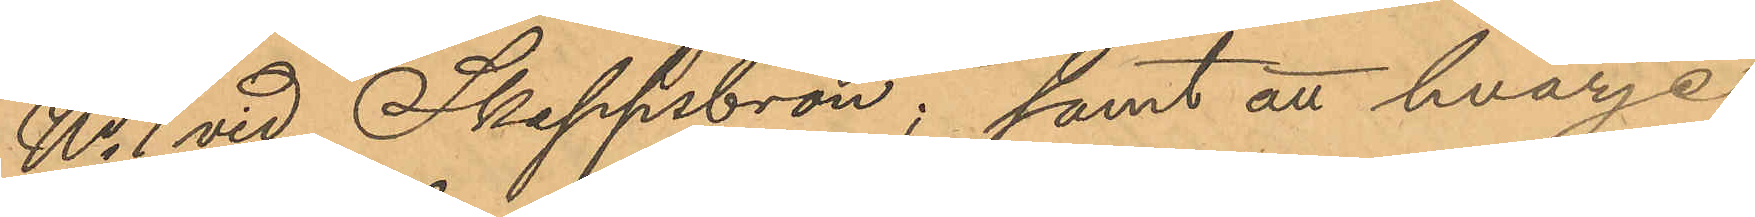No 1 vid Skeppsbron; samt att hvarje
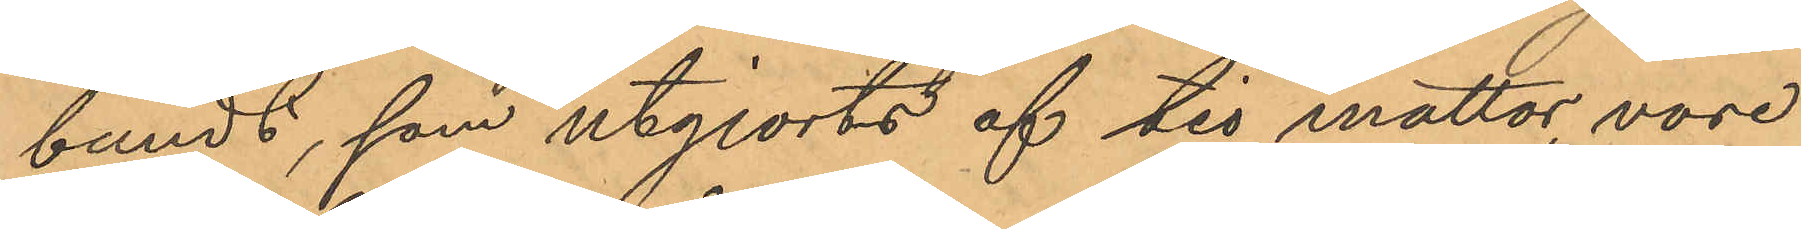bundt, som utgjorts af tio mattor, vore
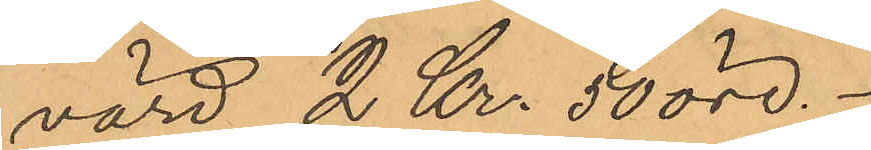värd 2 Kr. 50 öre.
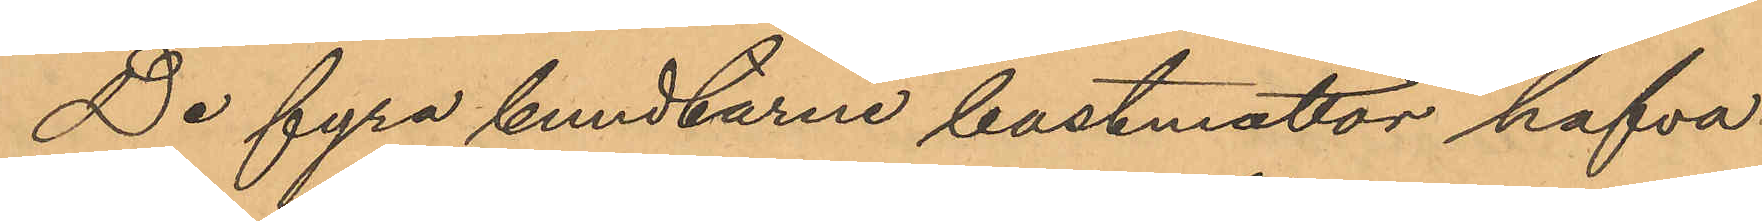De fyra bundtarne bastmattor hafva
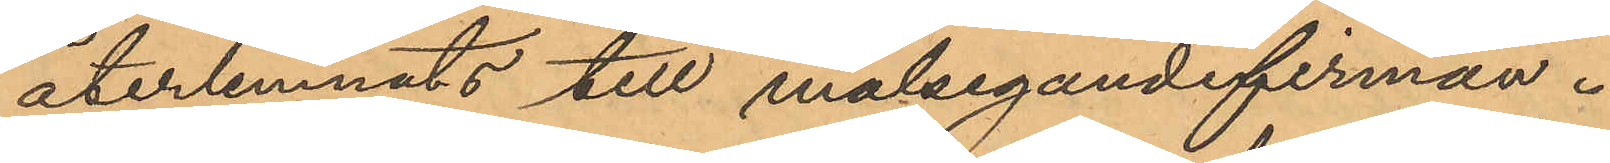återlemnats till målsegandefirman.
